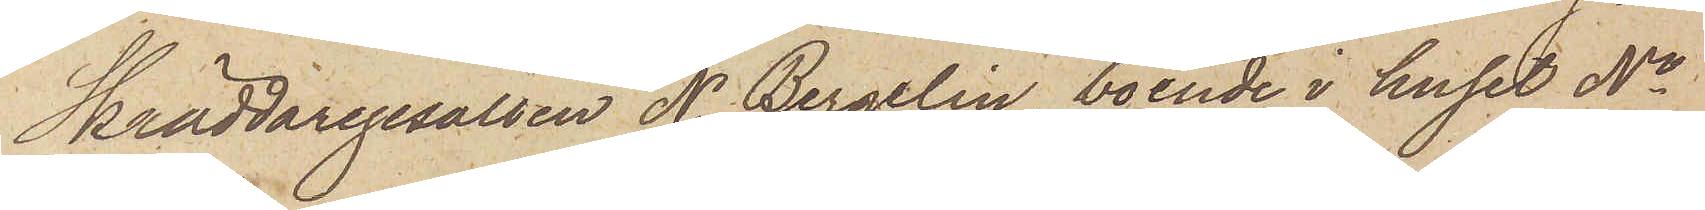Skräddaregesällen N. Bergelin, boende i huset No
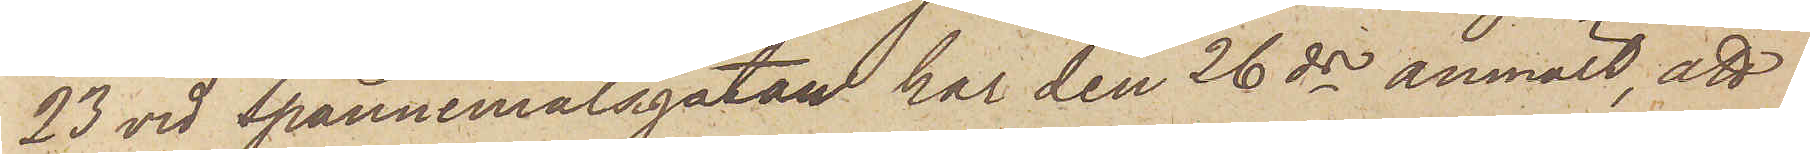23 vid Spannmålsgatan har den 26 ds anmält, att
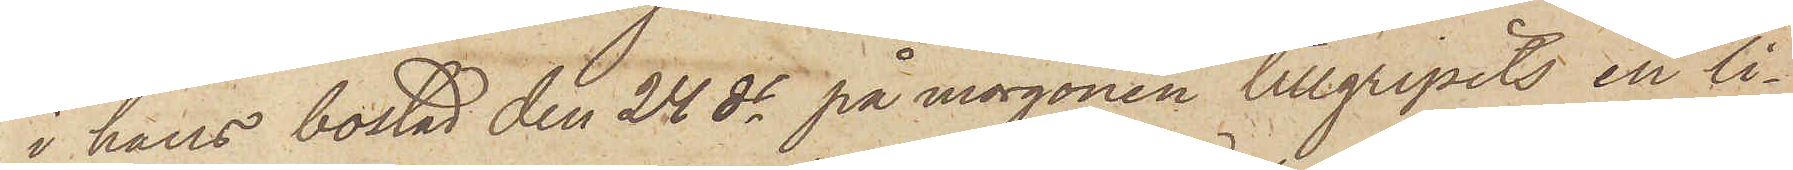i hans bostad den 24 ds på morgonen tillgripits en li¬
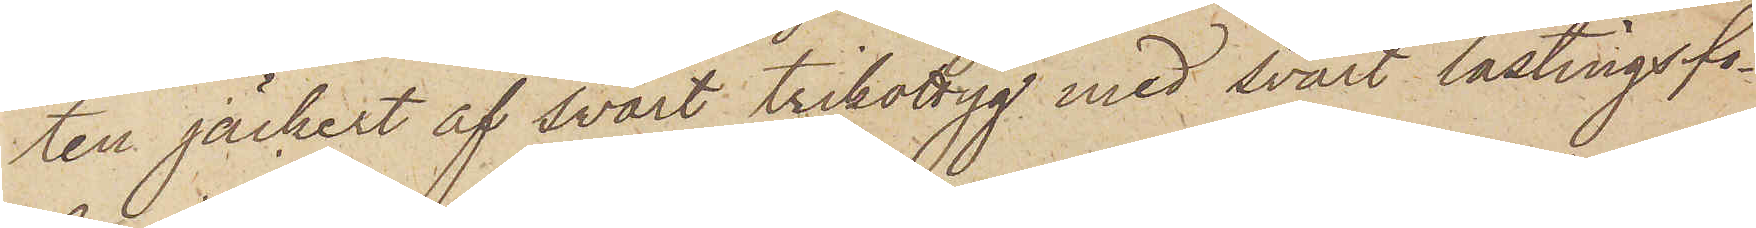ten jäckert af svart trikottyg med svart lastingsfo¬
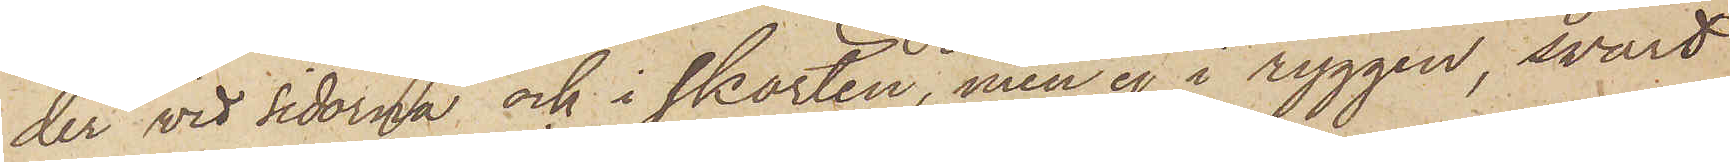der wid sidorna och i skörten, men ej i ryggen, svart
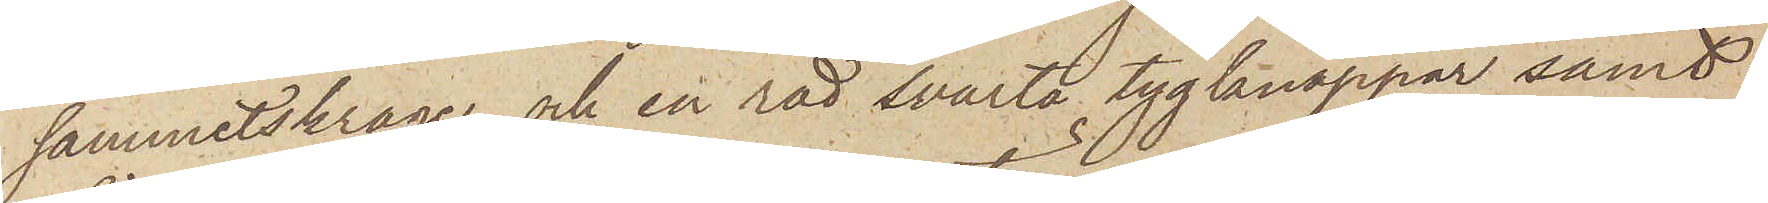sammetskrage, och en röd svarta tygknappar samt
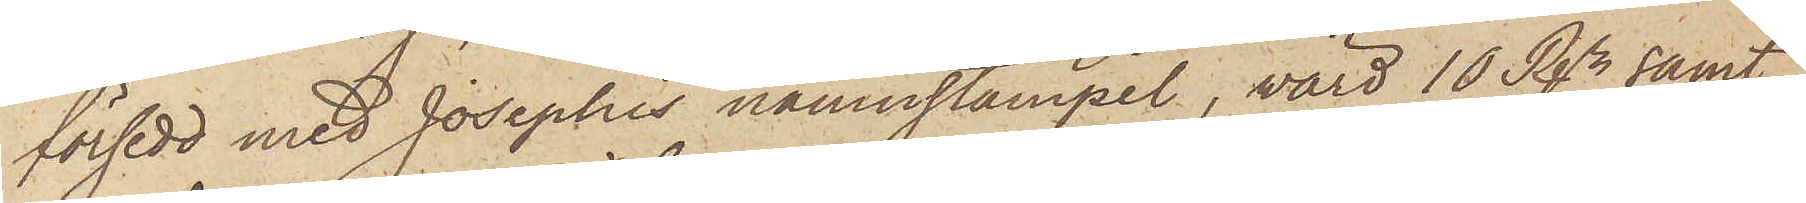försedd med Josephis namnstämpel, värd 10 Rdr samt
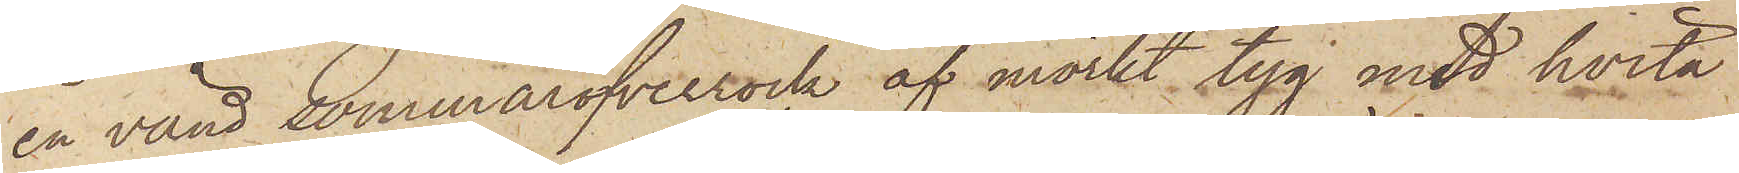en vänd sommaröfverrock af mörkt tyg med hvita
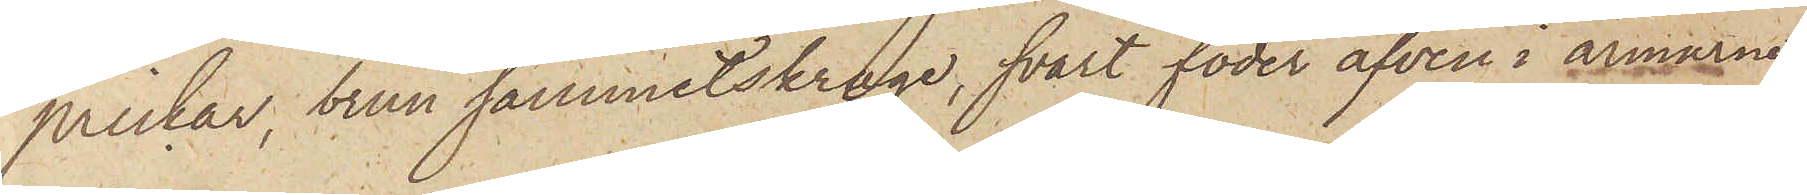prickar, brun sammetskrage, svart foder äfven i armarne,
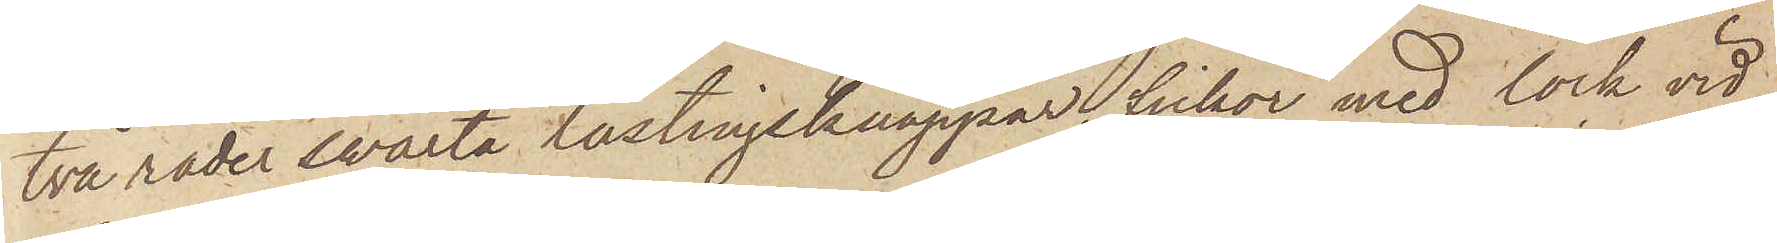två rader swarta lastingsknappar, fickor med lock vid
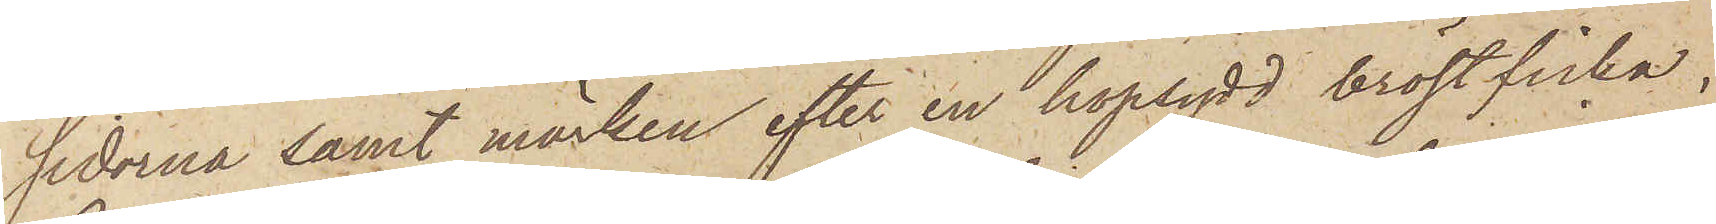sidorna samt märken efter en hopsydd bröstficka,
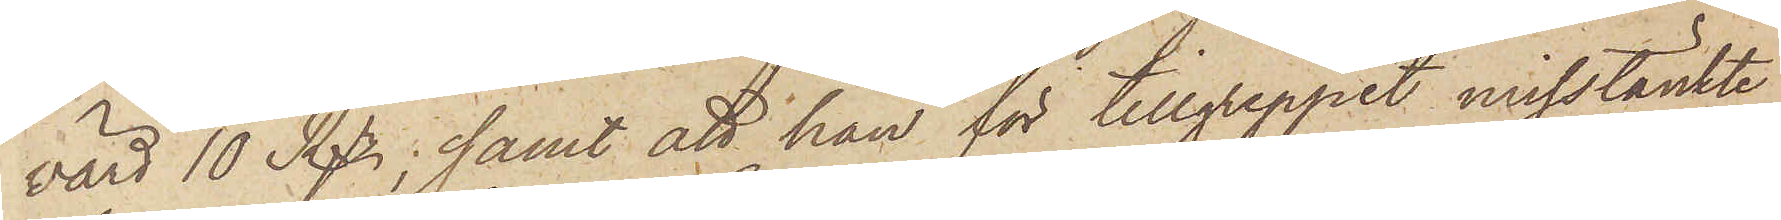värd 10 Rdr; samt att han för tillgreppet misstänkte
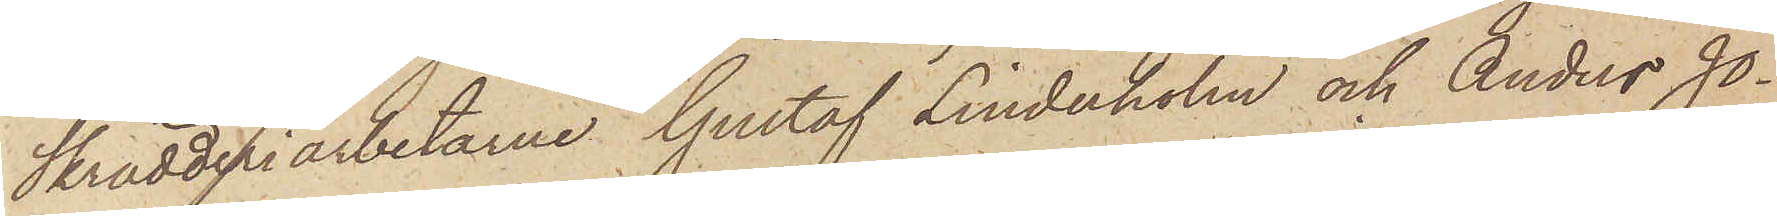Skrädderiarbetarne Gustaf Linderholm och Anders Jo¬
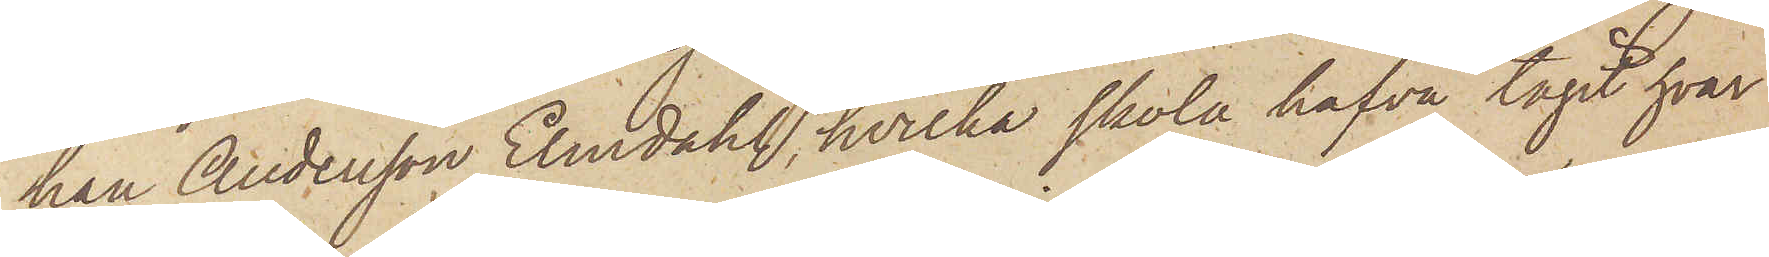han Andersson Elmdahl, hvilka skola hafva tagit hvar
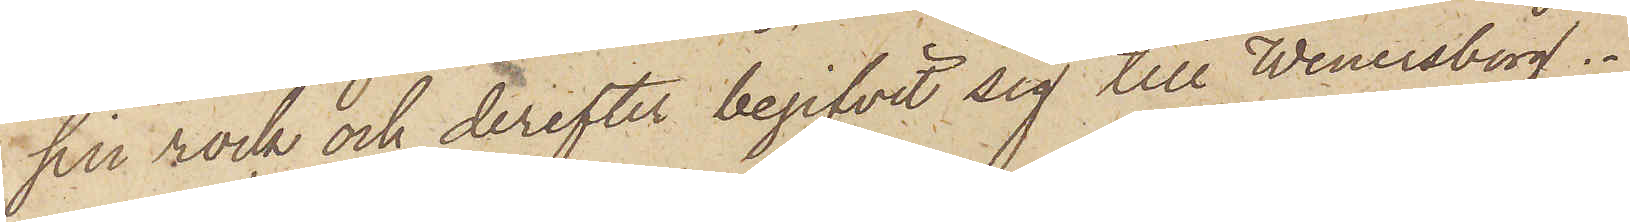sin rock och derefter begifvit sig till Wenersborg.
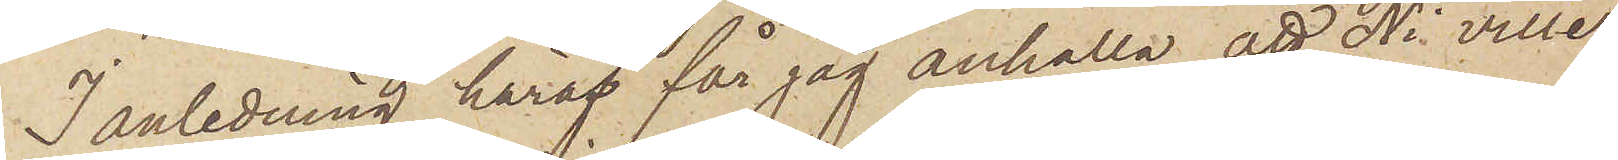I anledning häraf får jag anhålla, att Ni ville
